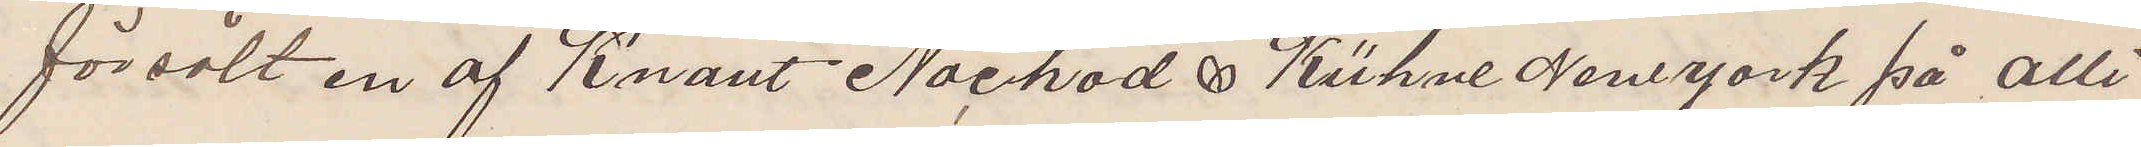försålt en af Kvant Nachod & Kühne New York på alli
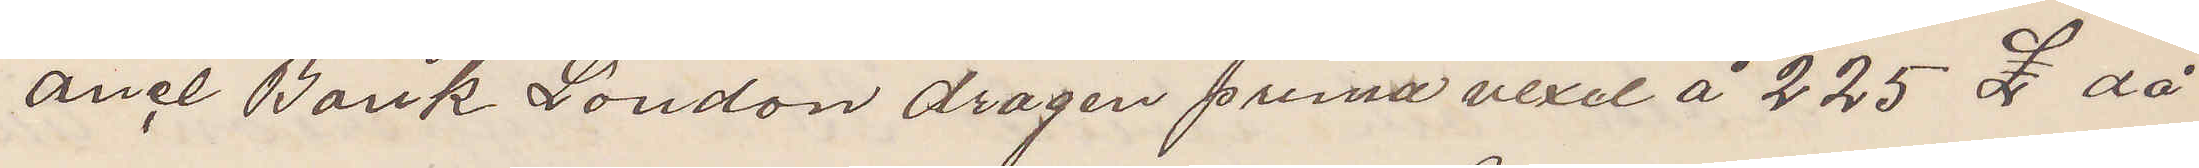ance Bank London dragen prima vexel å 225 £ då
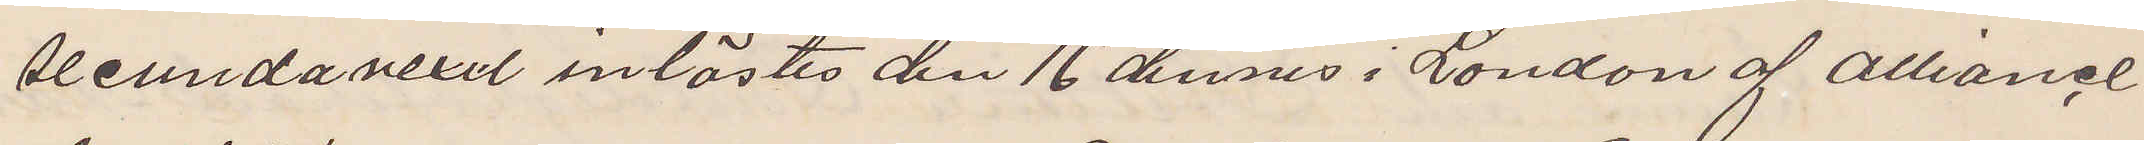secunda vexel inlöstes den 16 dennes i London af Alliance
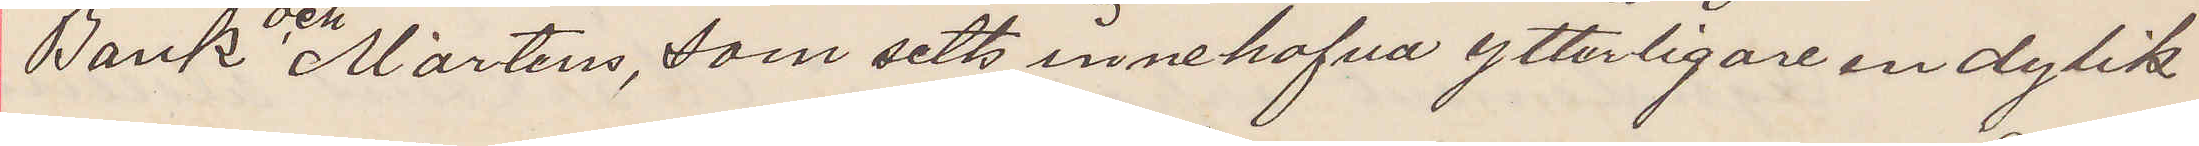Bank och Martens, som setts innehafva ytterligare en dylik
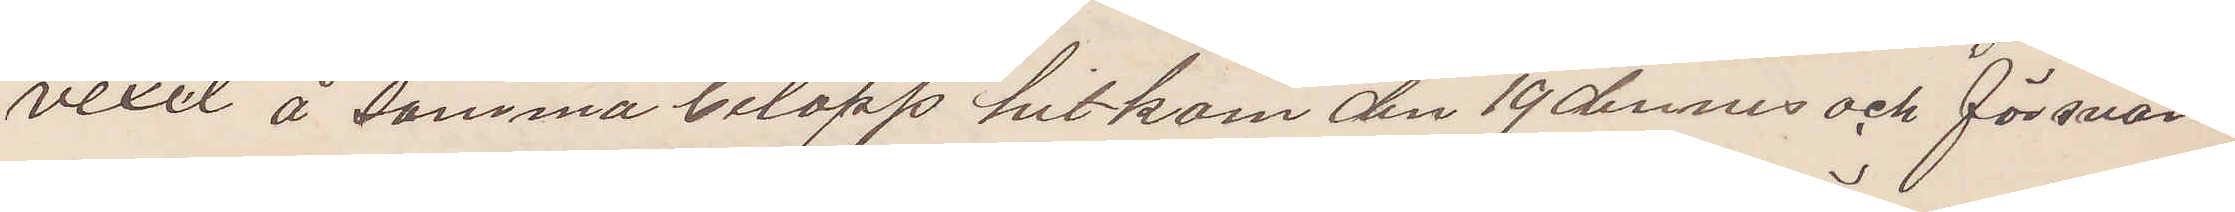vexel å samma belopp hitkom den 19 dennes och försvam
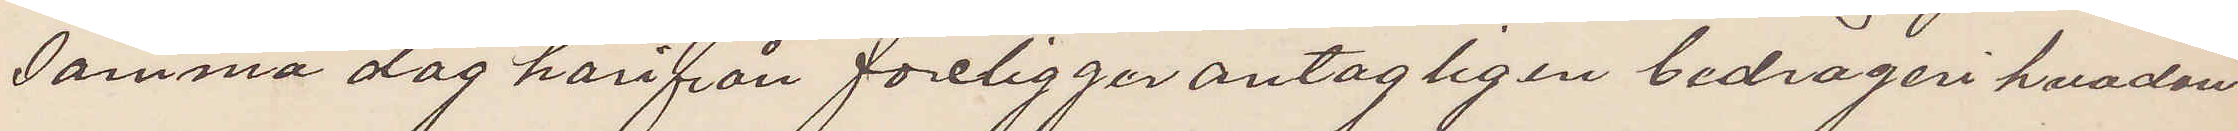samma dag härifrån föreligger antagligen bedrägeri hvadan
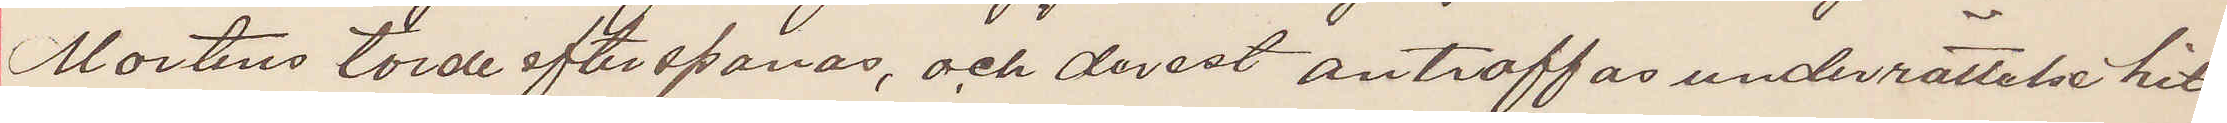Martens torde efterspanas, och derest anträffas underrättelse hit
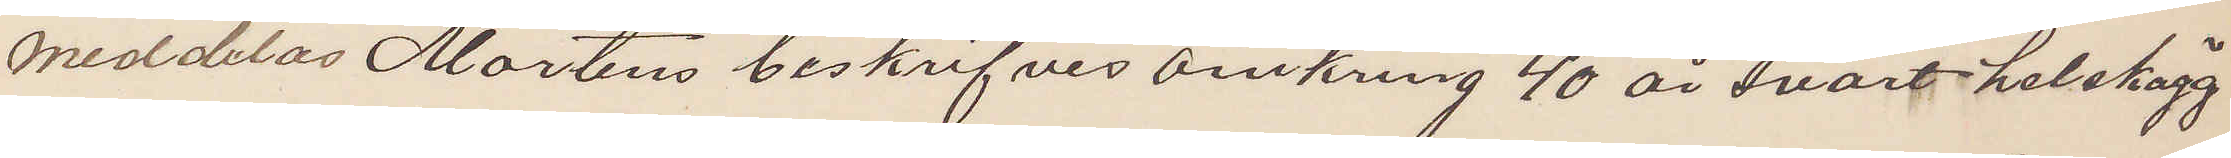meddelas Mortens beskrifves omkring 40 år svart helskägg
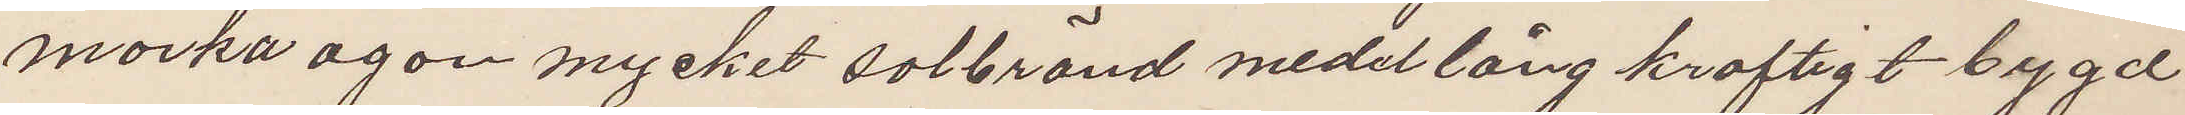mörka ögon mycket solbränd medellång kraftigt bygd
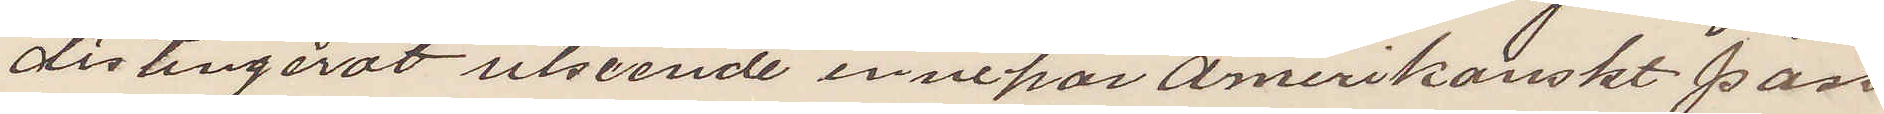distingerat utseende innehar Amerikanskt pass
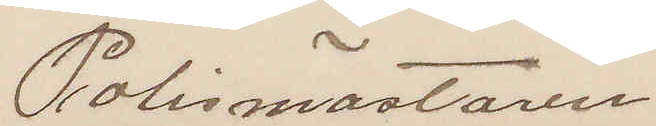Polismästaren
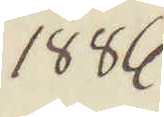1886
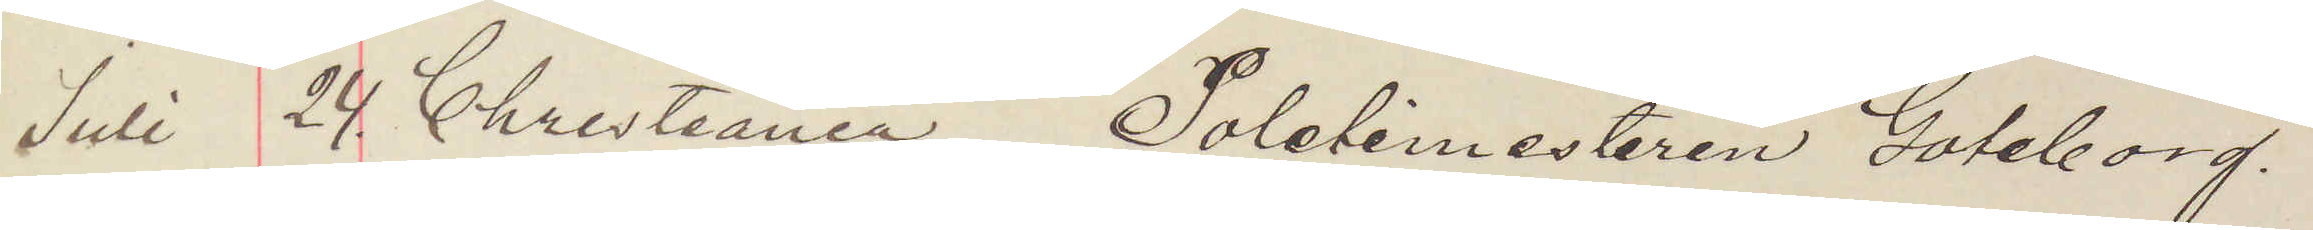Juli 24. Christiania Poletimesteren Göteborg.
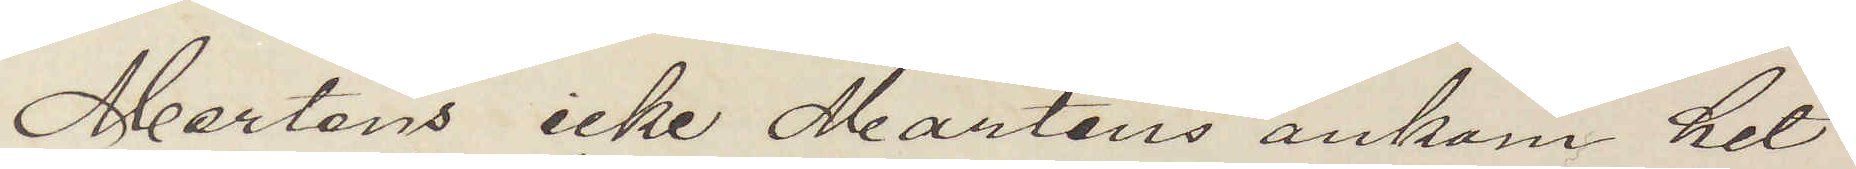Mertens icke Martens ankom hit
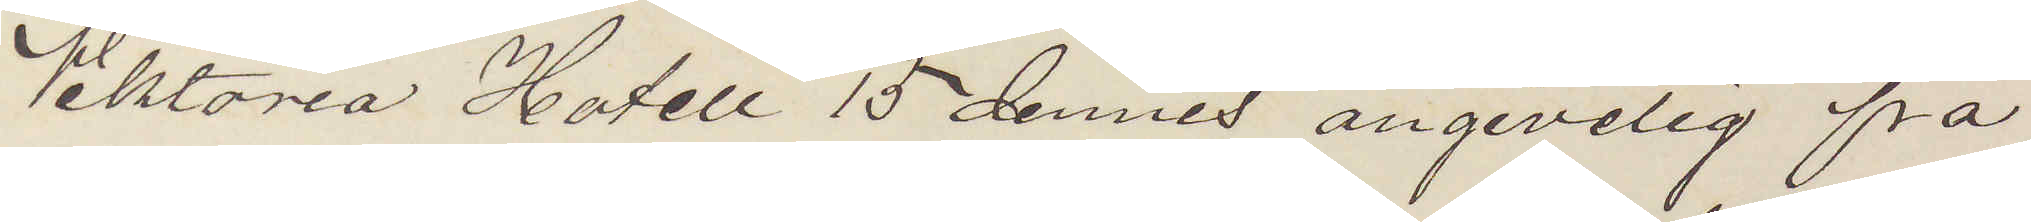Viktoria Hotell 15 dennes angivelig fra
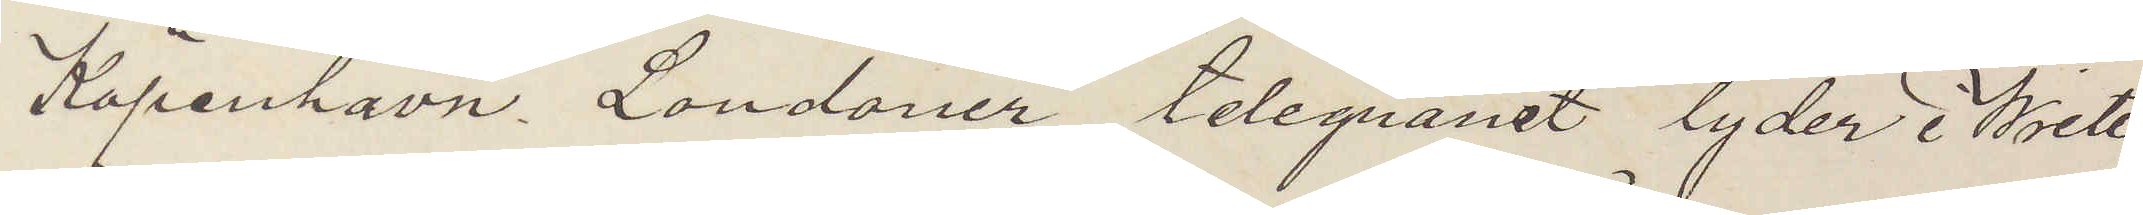Köpenhavn. Londoner telegramet lyder i Write
